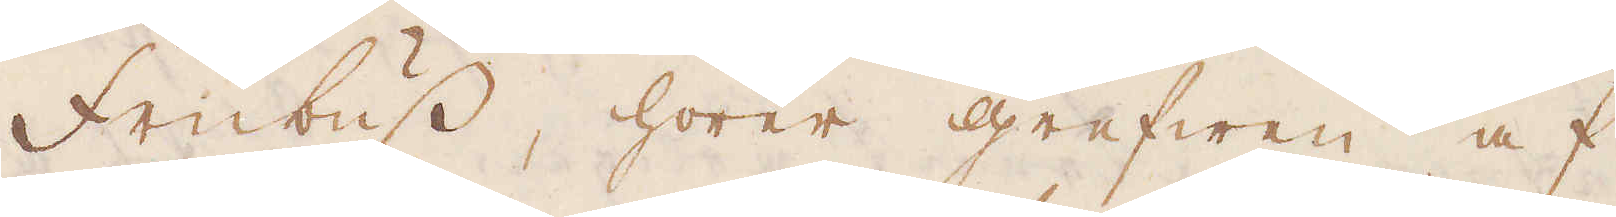Frübuss, hörer grefwen af
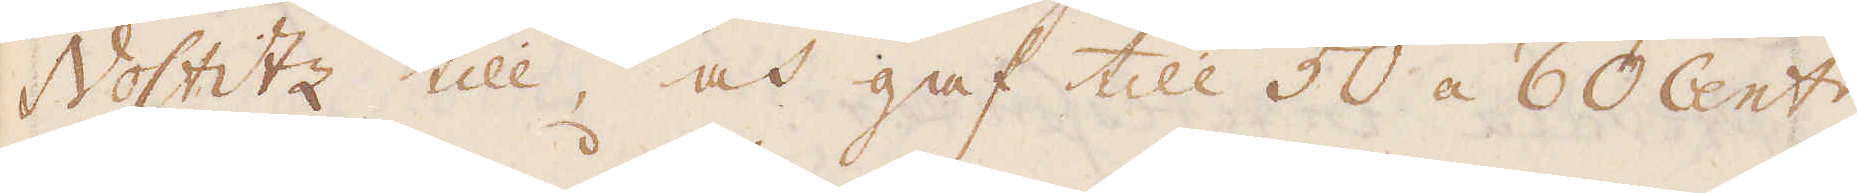Nostitz till, och gaf till 50 á 60 Cent:r
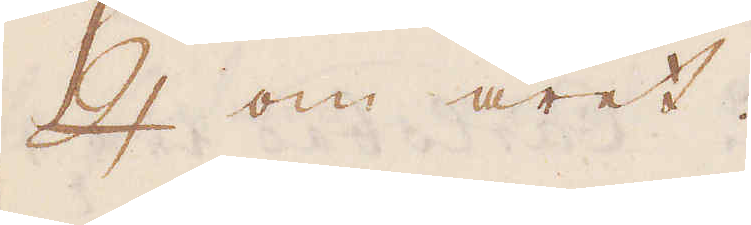♃ om året.
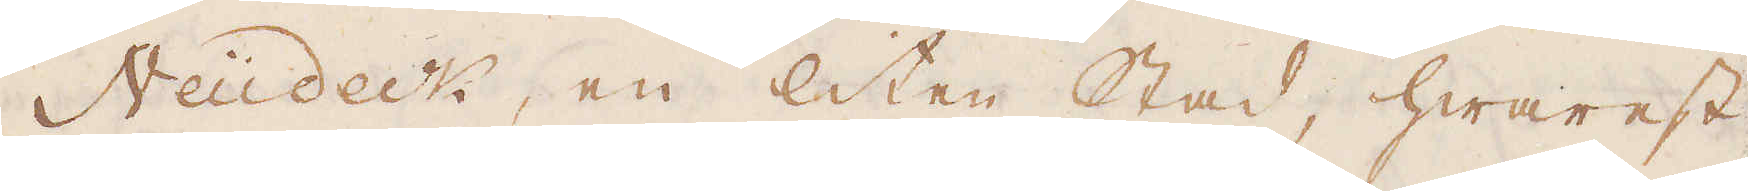Neüdeck, en liten stad, hwarest
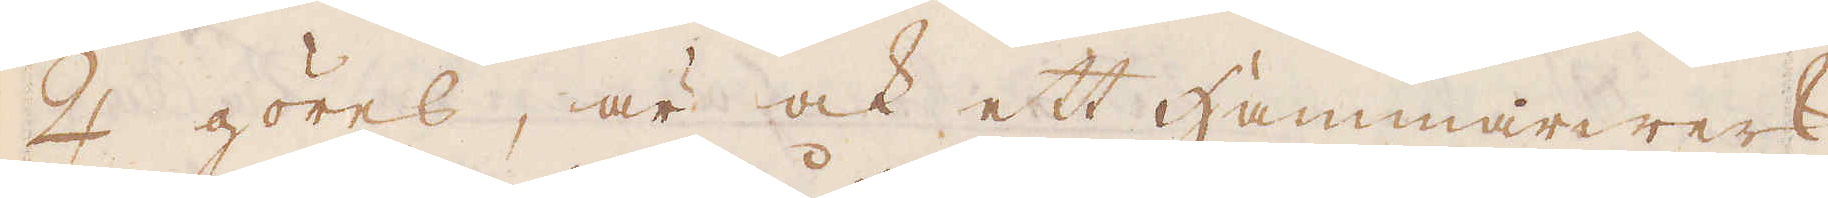♃ göres, är ock ett Hammarwerk
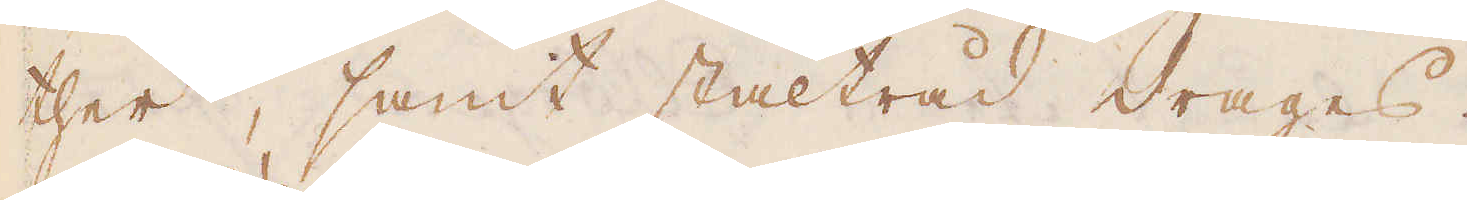ther, samt ståltråd drages.
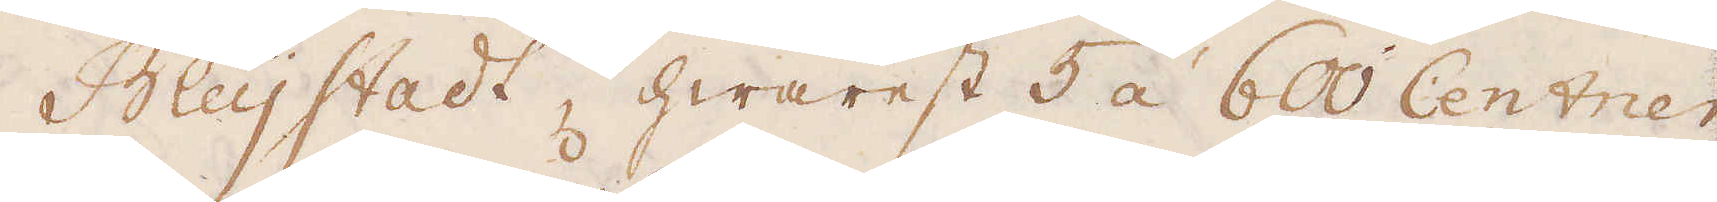Bleystadt, hwarest 5 à 600 Centner
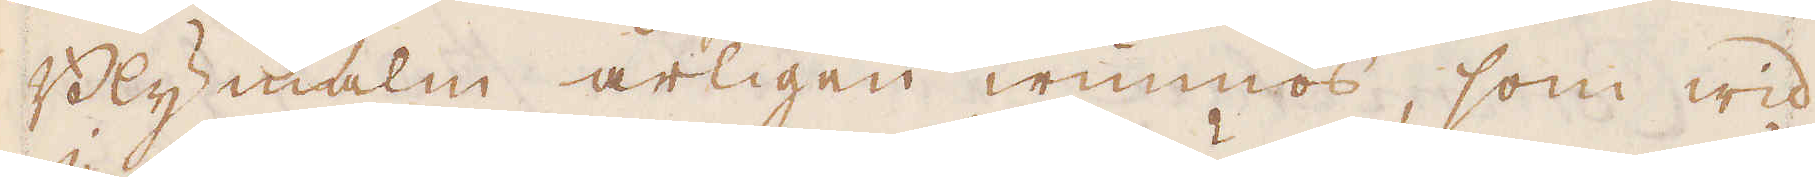Blymalm årligen wunnos, som wid
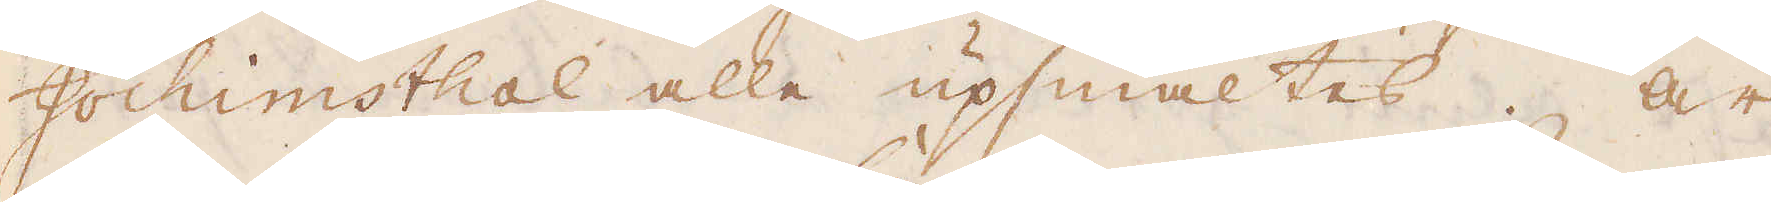Jochimsthal alla upsmältes. Är
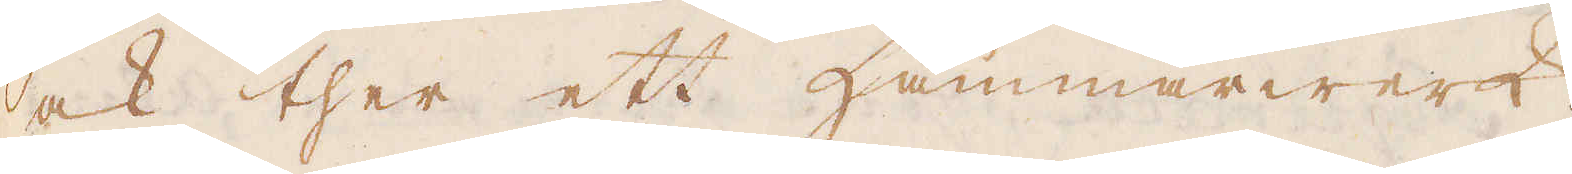ock ther ett Hammarwerk.
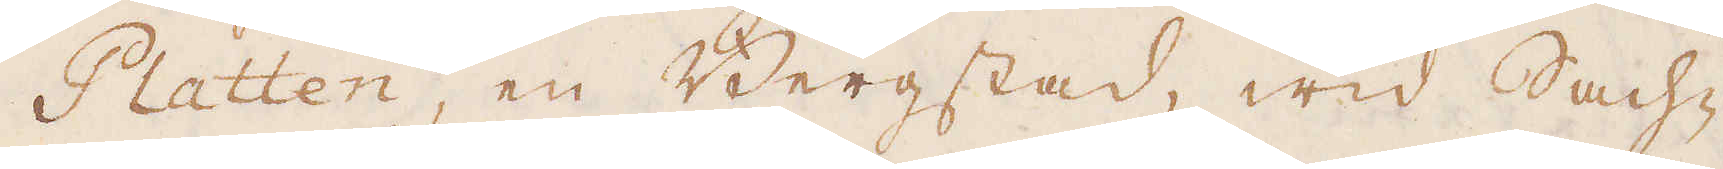Platten, en Bergstad, wid Sach-
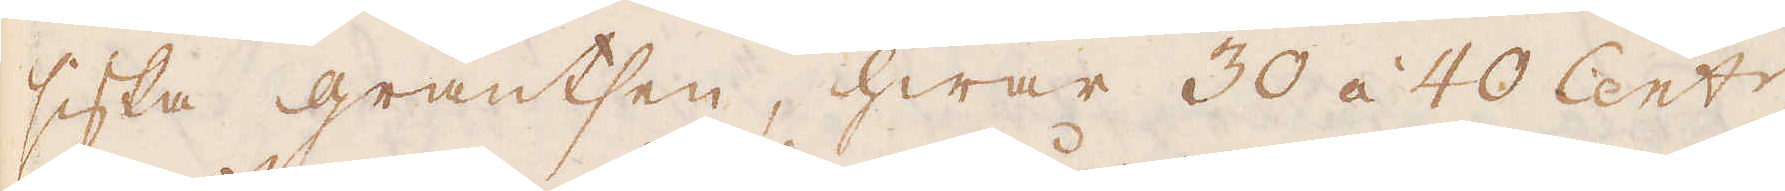siska gräntsen, hwar 30 à 40 Cent:r
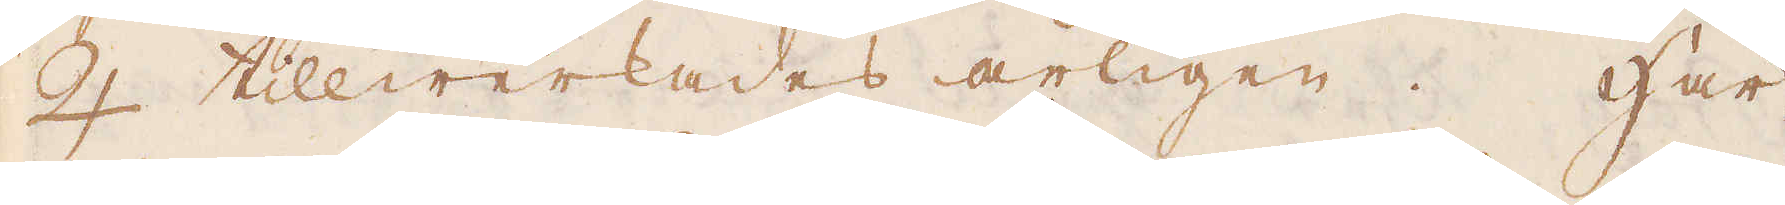♃ tillwerkades årligen. Här
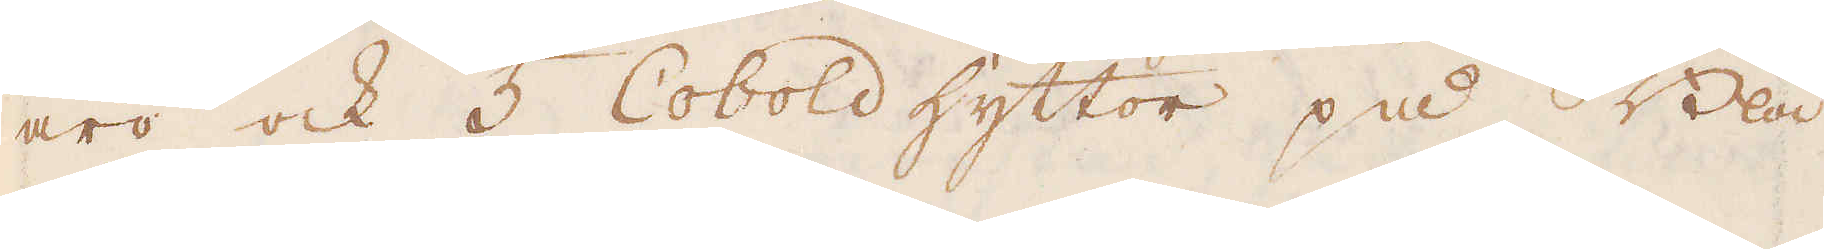äro ock 5 Cobold hyttor på Blå
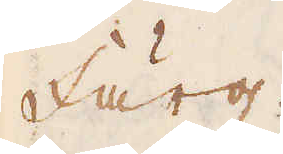färg.
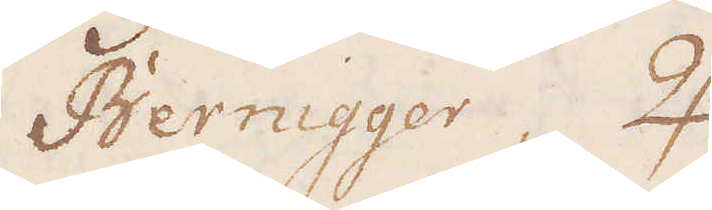Bernigger, ♃.
